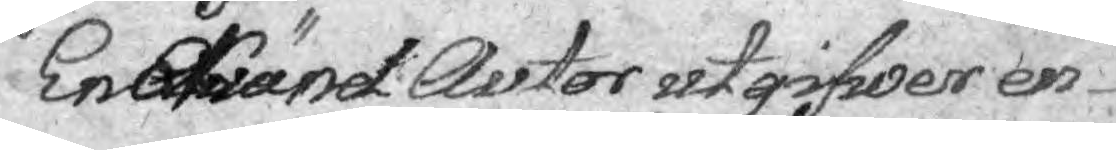En erkänd Autor utgifwer en
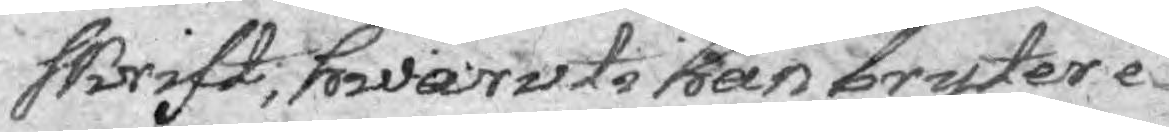skrift, hwaruti han bryter e¬
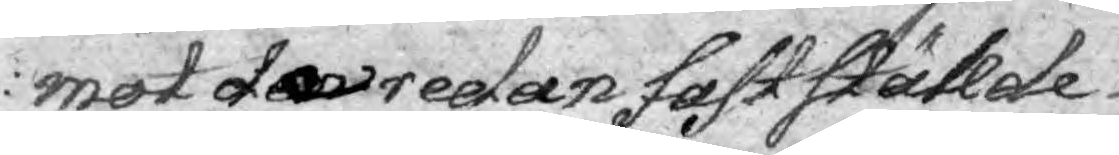mot den redan fastställde
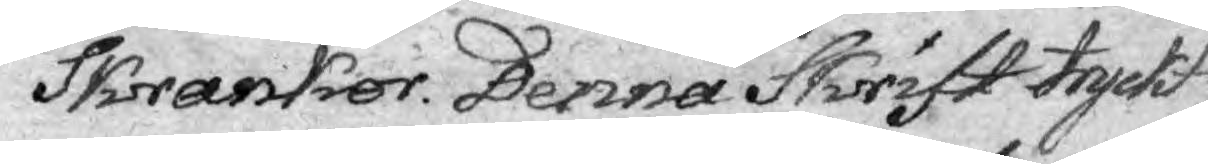Skrankor. Denna Skrift tryckt
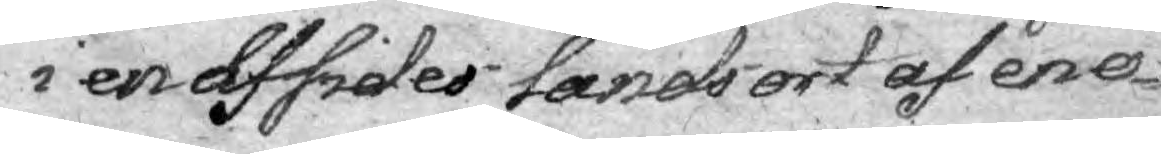i en affsides Lands-ort af en o¬
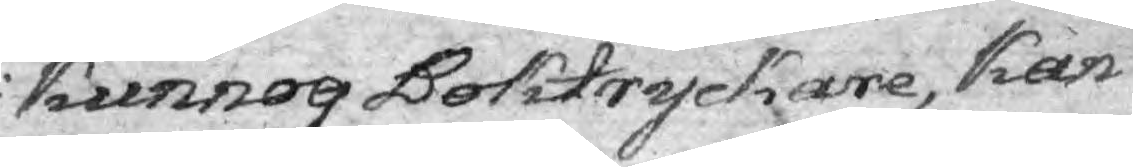kunnog Boktryckare, kan
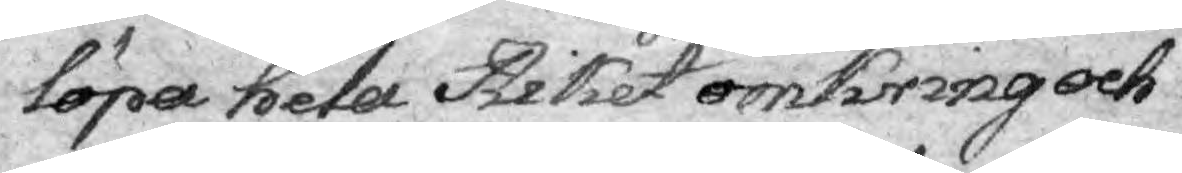löpa hela Riket omkring och
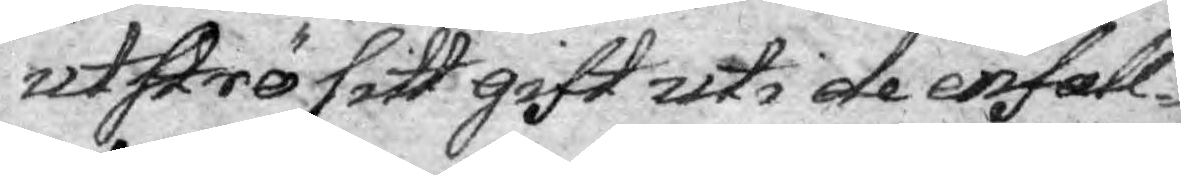utströ sitt gift uti de enfall¬
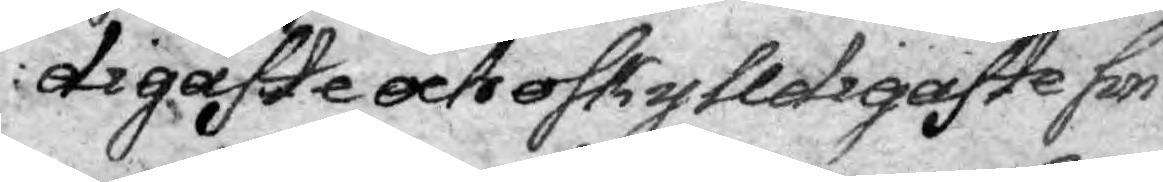digaste och oskylldigaste sin¬ 
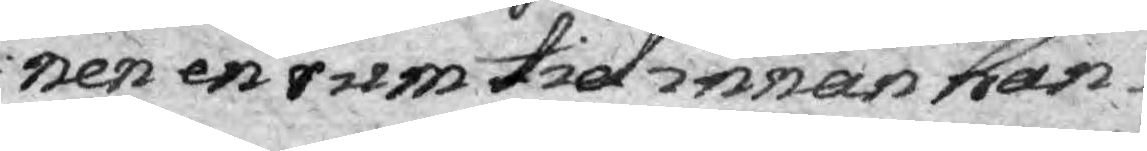nen en rumtid innan han
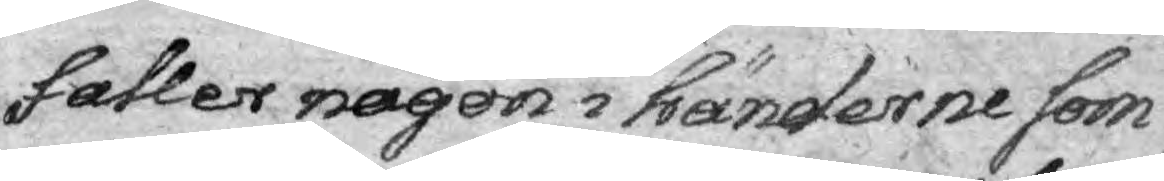faller någon i händerne som
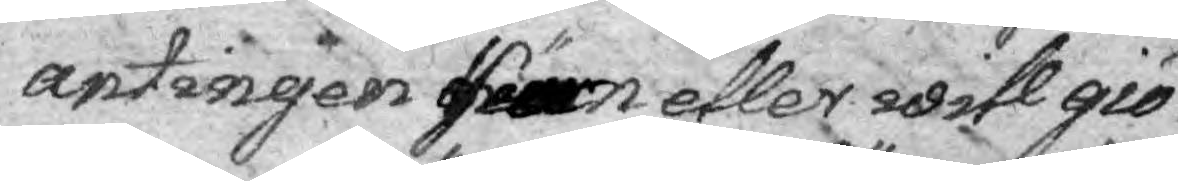antingen kan eller will giö¬
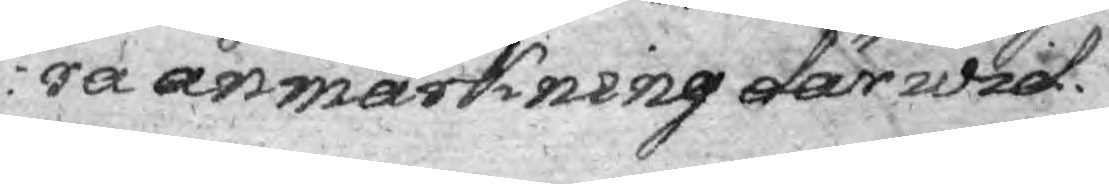ra anmärkning därwid.
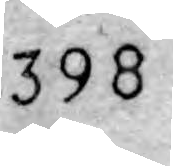398
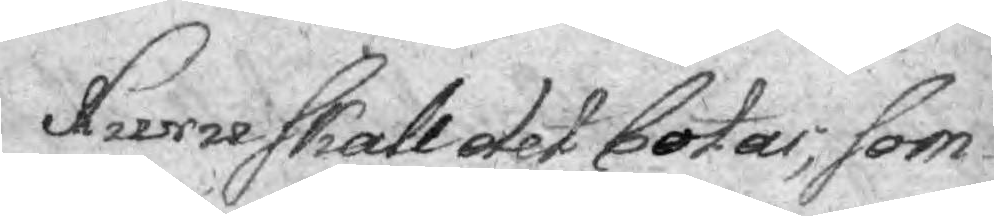Huru skall det botas; som
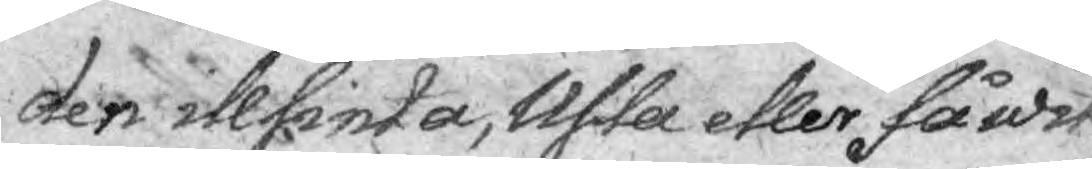den illsinta, Usla eller få wit
